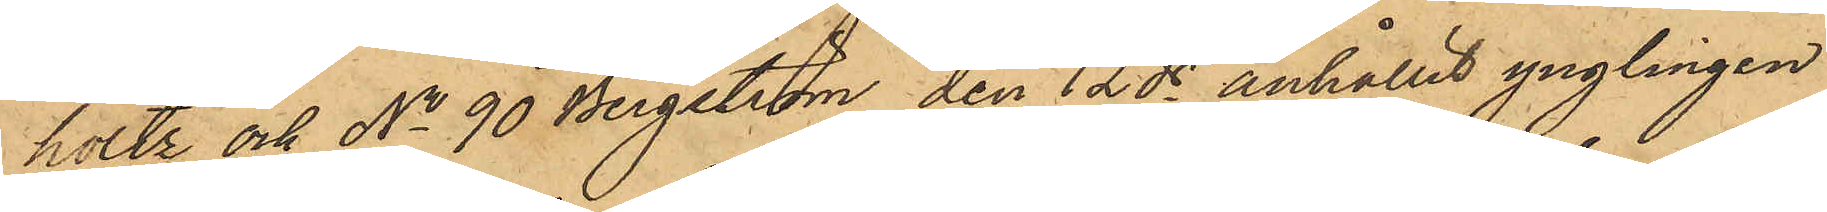holtz och No 90 Bergström den 12 ds anhållit ynglingen
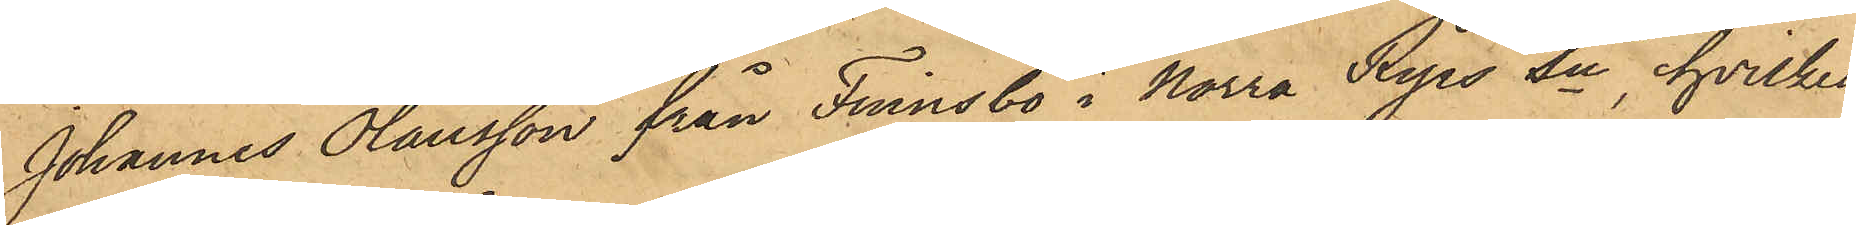Johannes Olausson från Finnsbo i Norra Ryrs Sn, hvilken
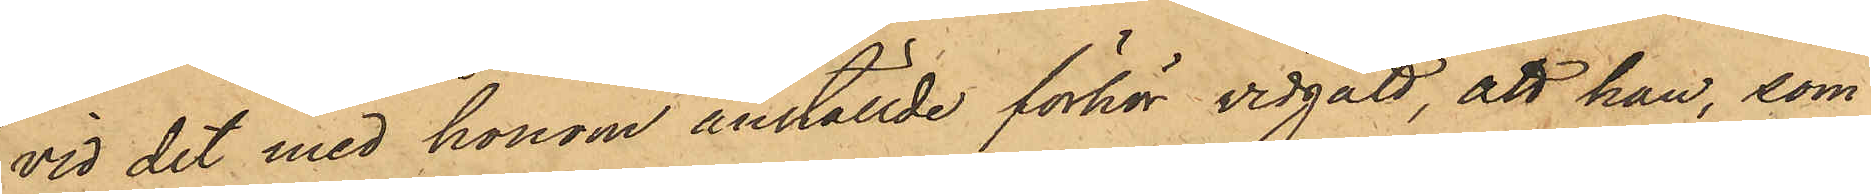vid det med honom anställde förhör vidgått, att han, som
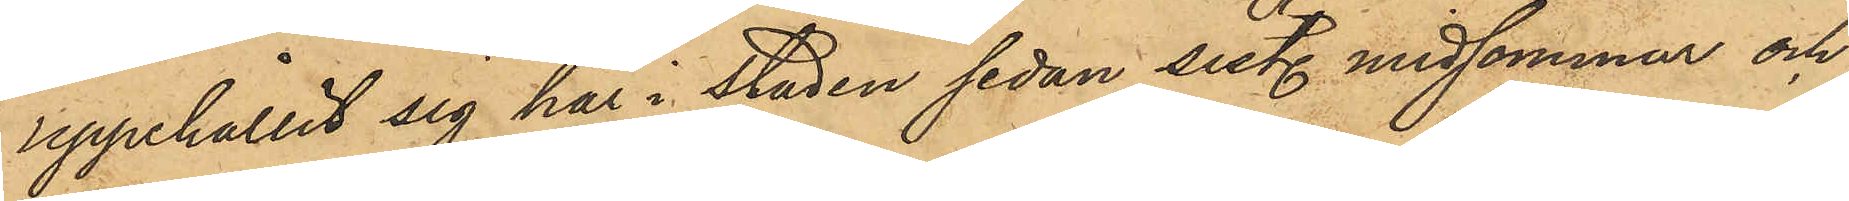uppehållit sig här i Staden sedan sist. midsommar och
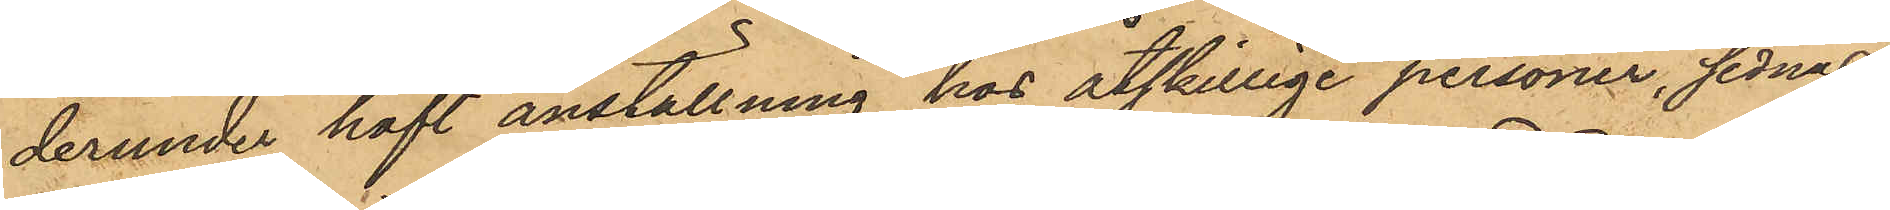derunder haft anställning hos åtskillige personer, sednast
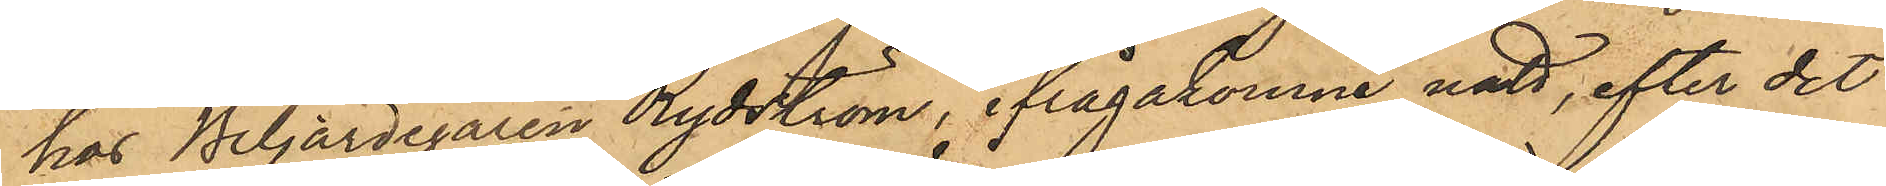hos Biljardegaren Rydström, ifrågakomne natt, efter det
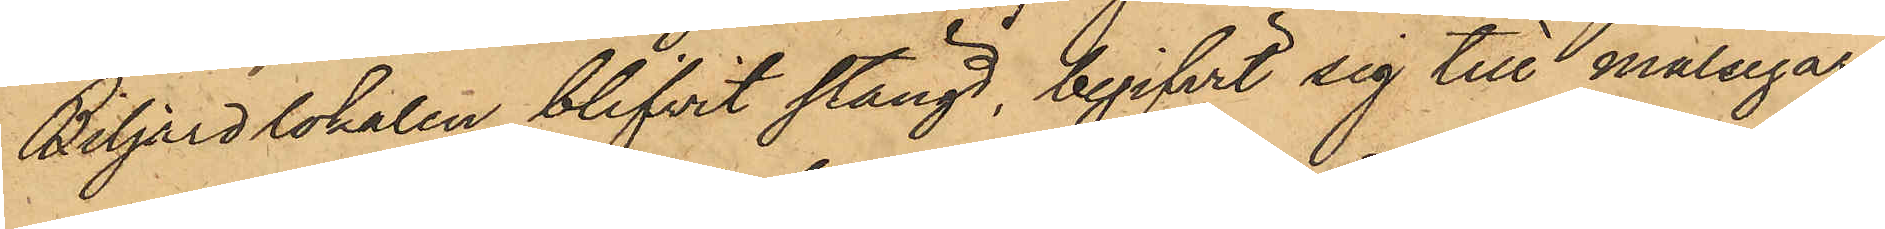Biljardlokalen blifvit stängd, begifvit sig till målsegar¬
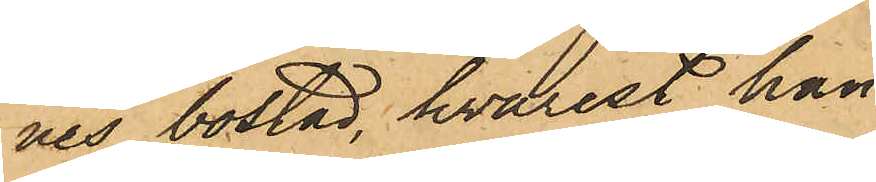nes bostad, hvarest han
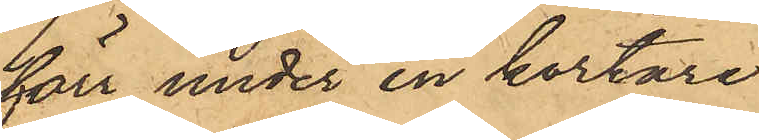förr under en kortare
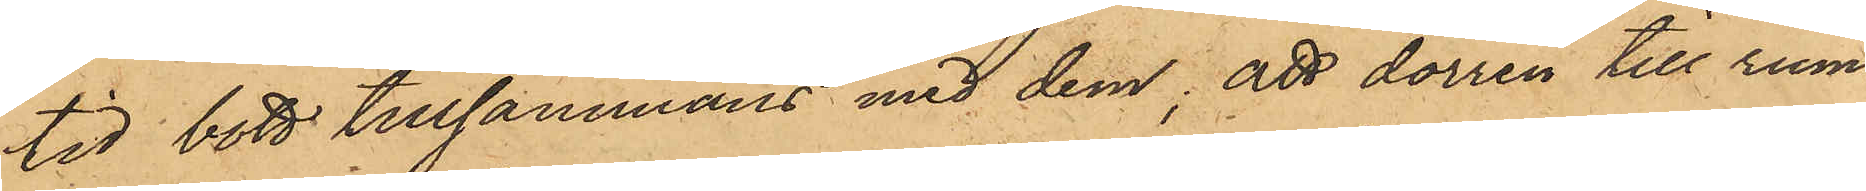tid bott tillsammans med dem; att dörren till rum¬
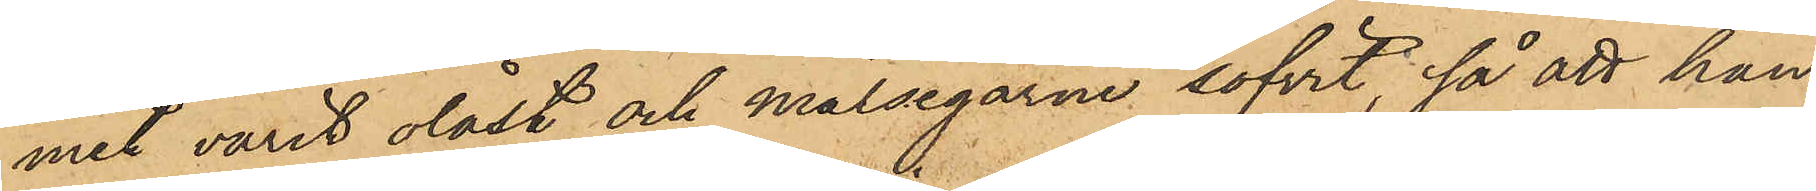met varit olåst och målsegarne sofvit; så att han
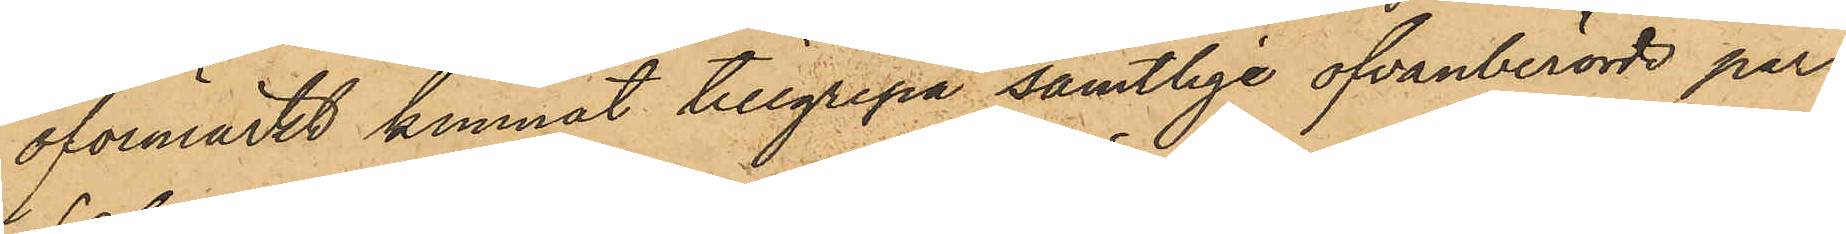oförmärkt kunnat tillgripa samtlige ofvanberörde per¬
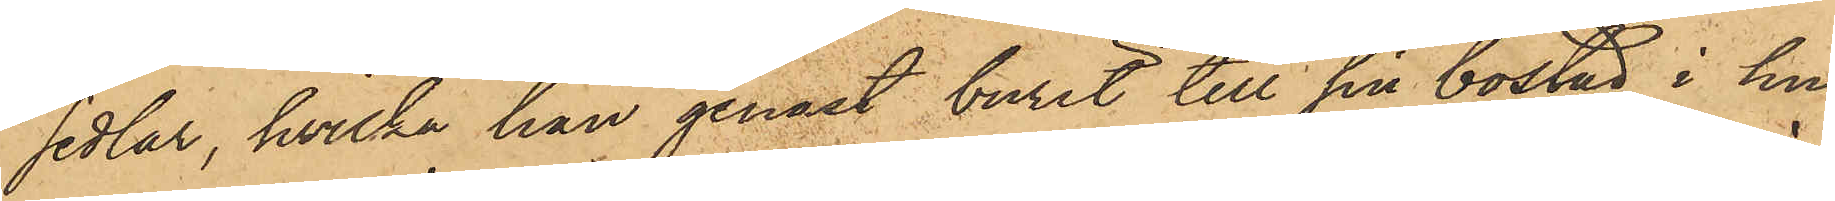sedlar, hvilka han genast burit till sin bostad i hu¬
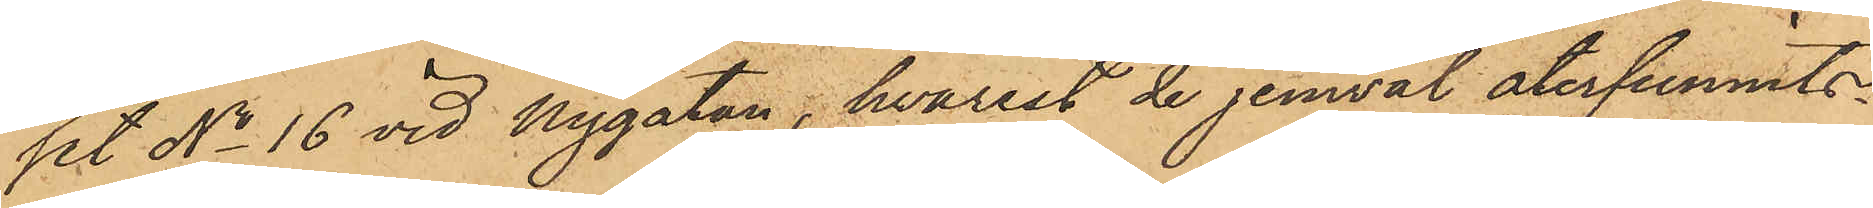set No 16 vid Nygatan, hvarest de jemväl återfunnits.
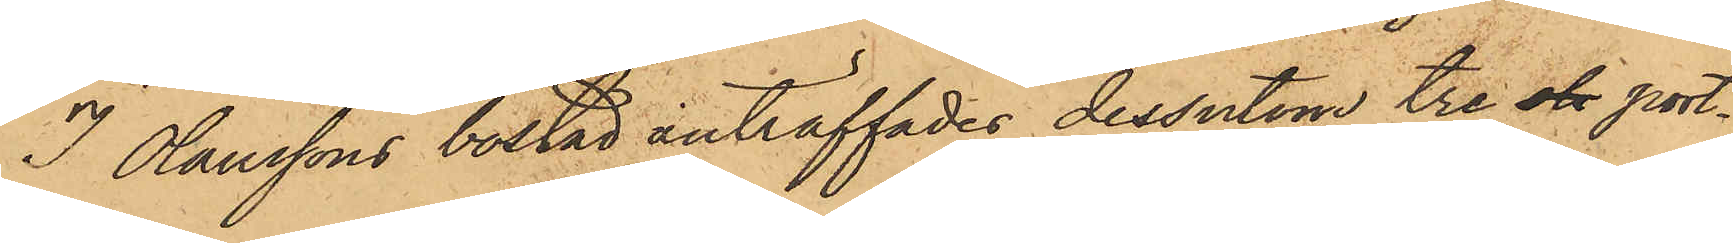I Olaussons bostad anträffades dessutom tre sk port¬
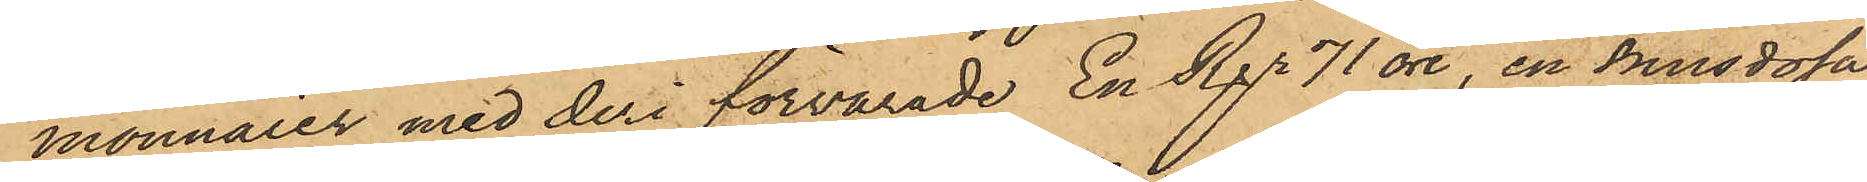monnaier med deri förvarade En Rgr 71 öre, en snusdosa
